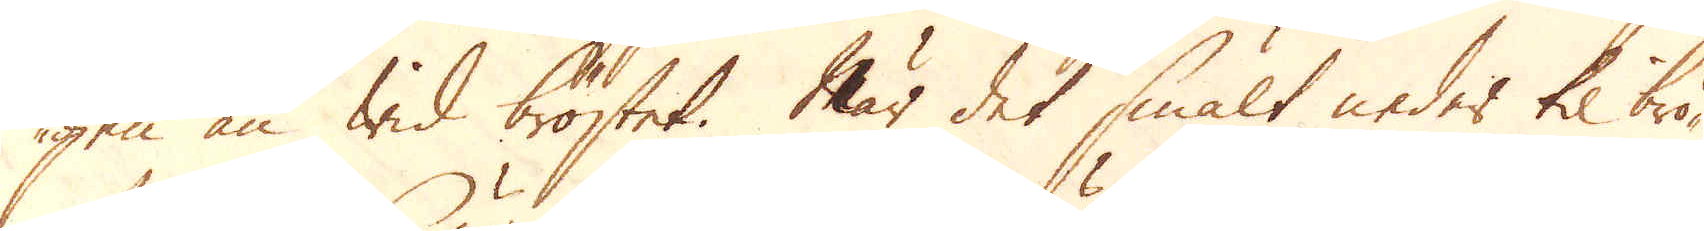gen än wid bröstet. När det smält neder til brö-
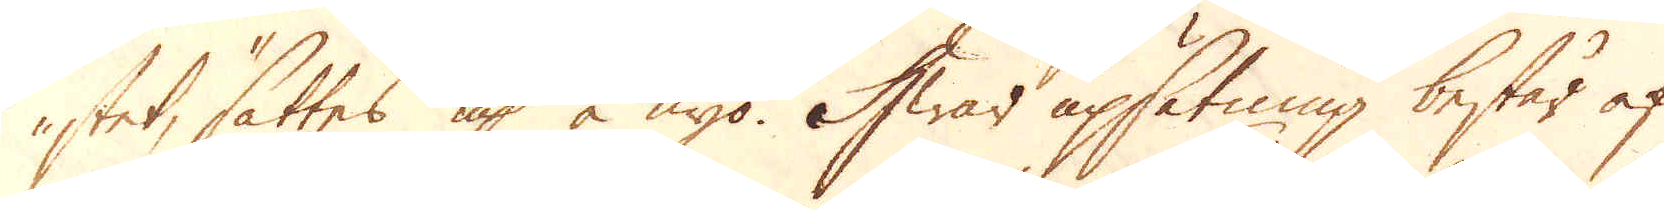stet, sättes up å nyo. Hwar upsätning består af
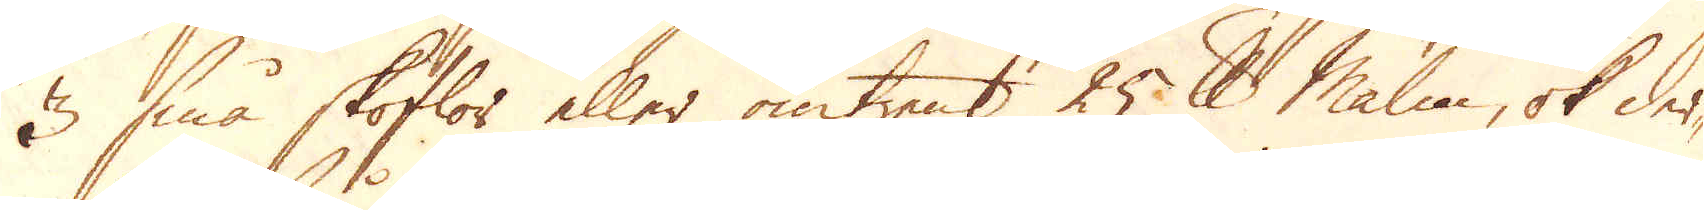3 små skoflor eller omtrent 25 skålpund malm, ok der-
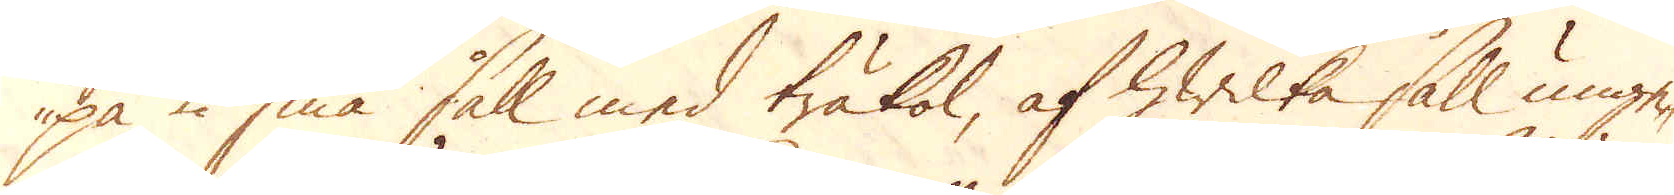på 2 små såll med träkol, af hwilka såll unge-
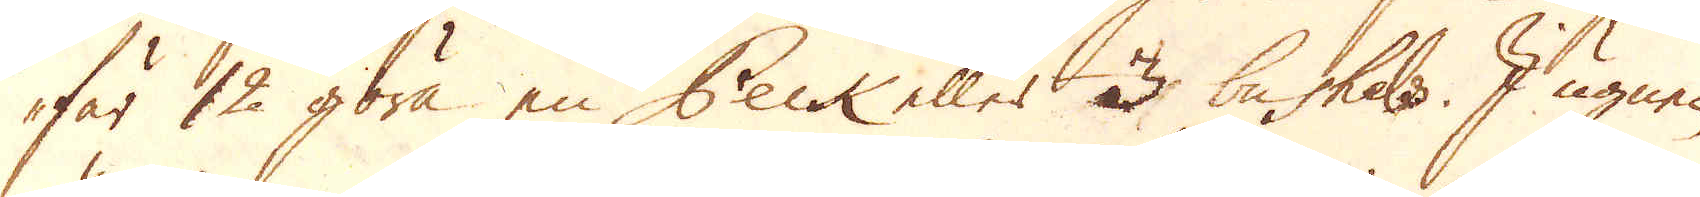fär 12 göra en Peck eller 3 bushels. I ugnen
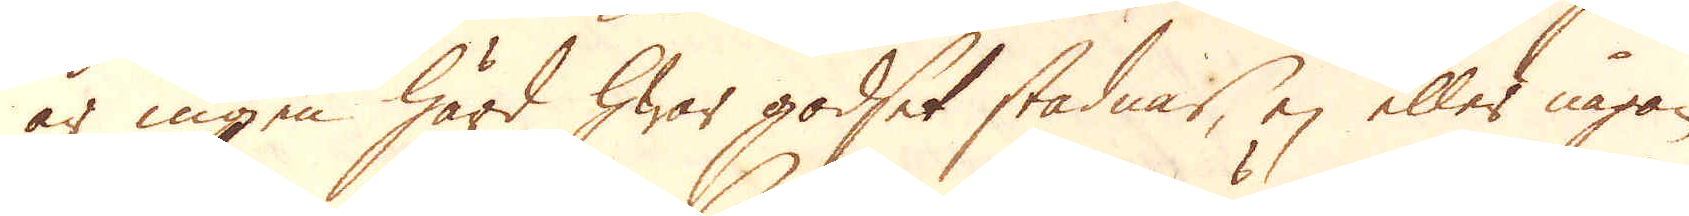är ingen härd hwar godset stadnar, ej eller någon
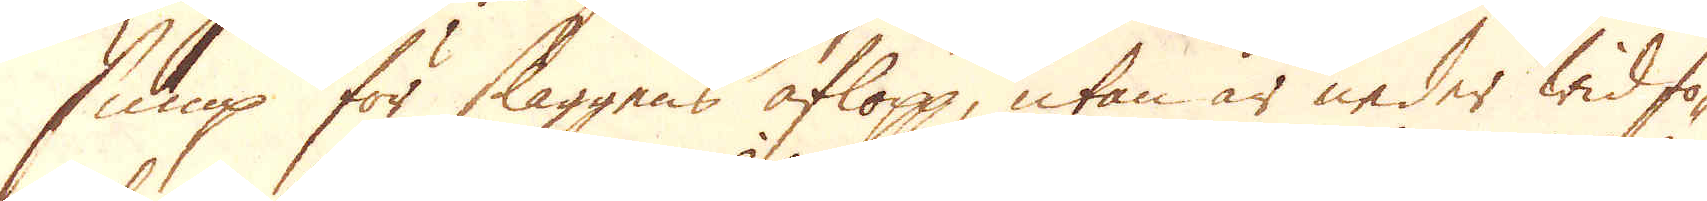sump för slaggens aflopp, utan är neder wid fo-
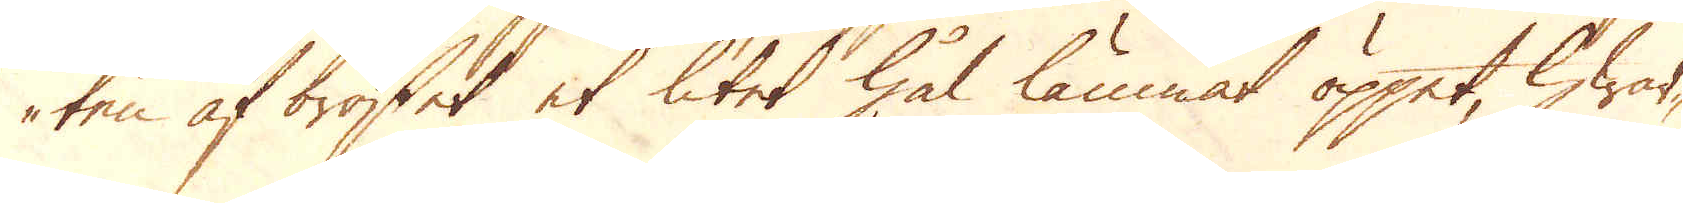ten af bröstet et litet hål lämnat öppet, hwar-
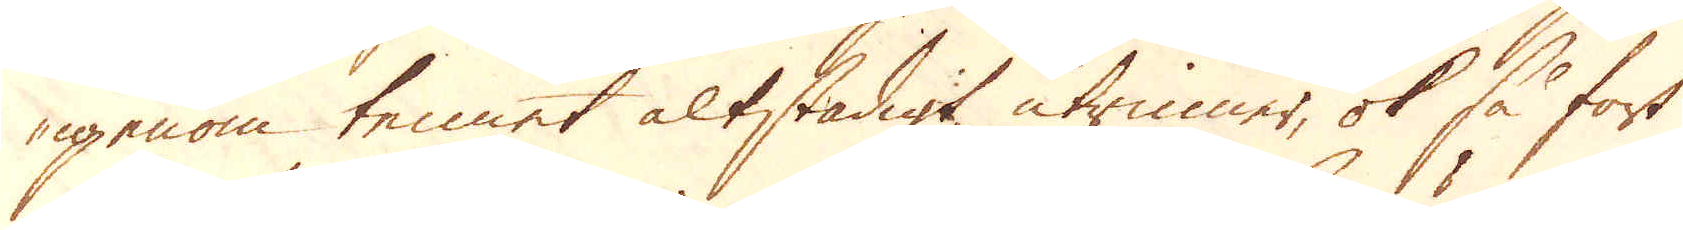igenom tennet altstadigt rinner, ok så fort
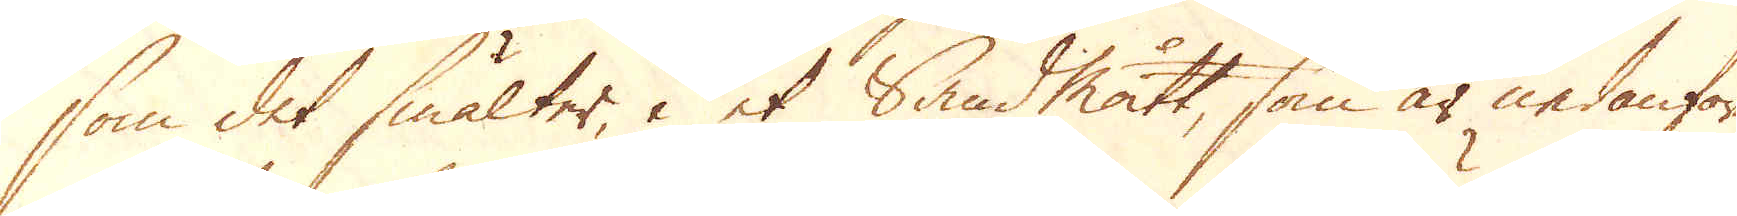som det smälter, i et Sandmått, som är nedanföre
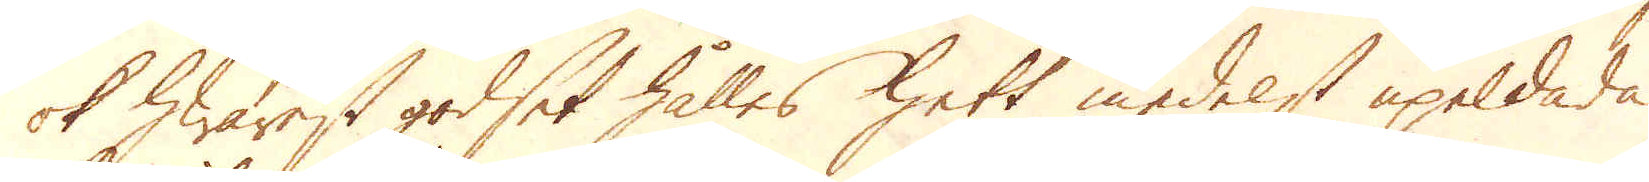ok hwarest godset hålles hett medelst upeldade
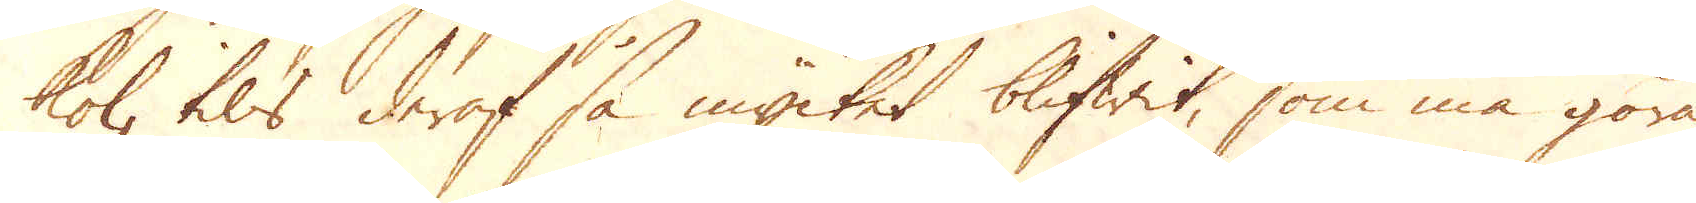kol, tils deraf så mycket blifwit, som må göra
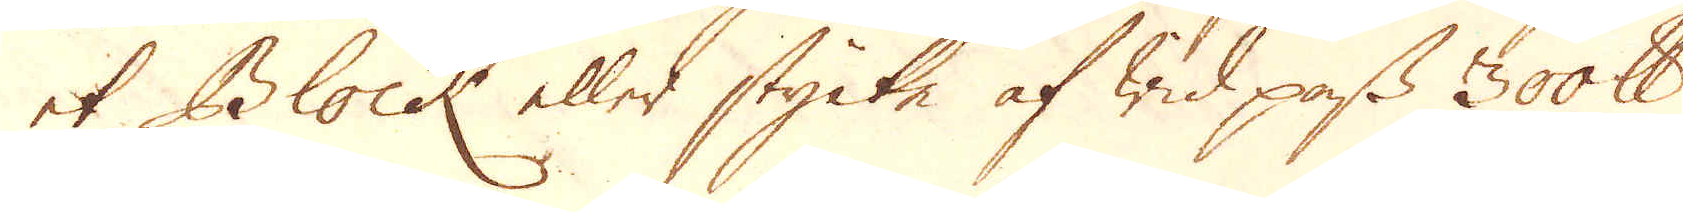et Block eller stycke af wid pass 3000 skålpund
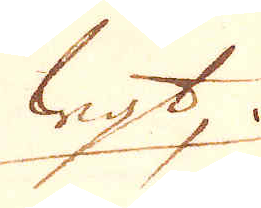wigt,
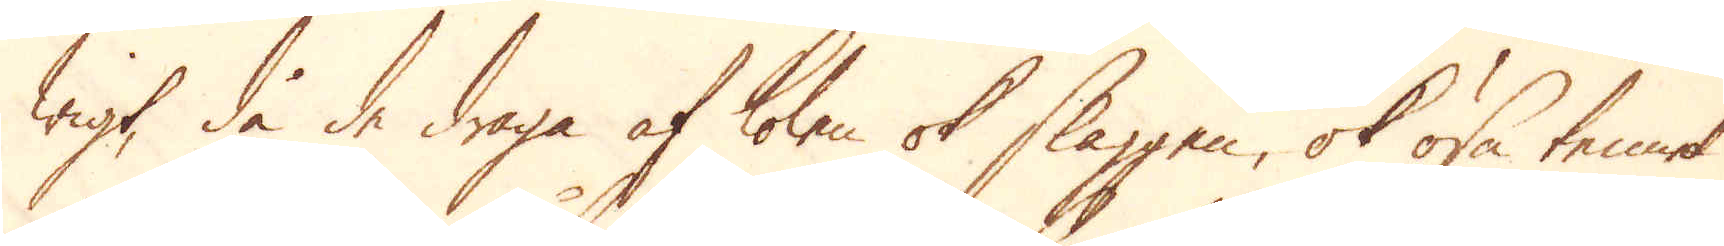wigt, då de draga af kolen ok slaggen, ok ösa tennet
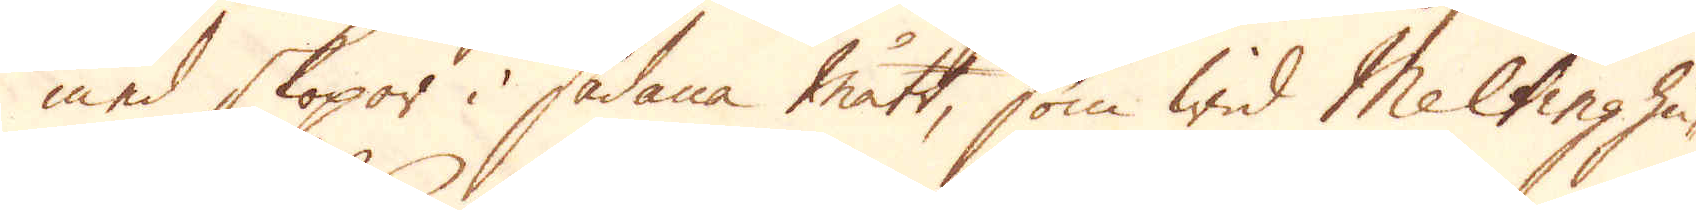med skopor i sådana mått, som wid Meltinghu-
